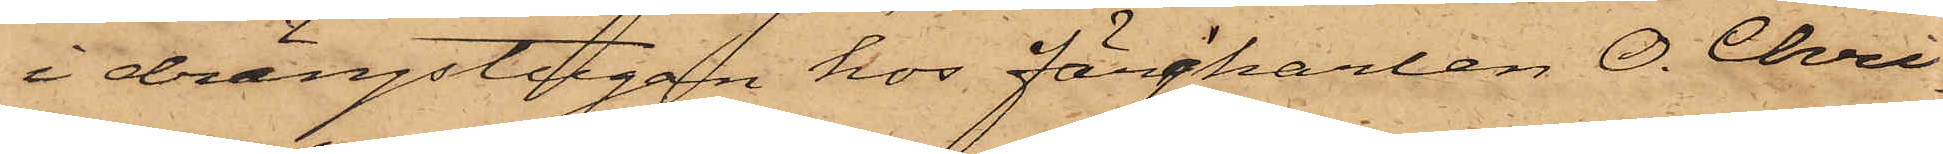i drängstugan hos Färjkarlen O. Chri¬
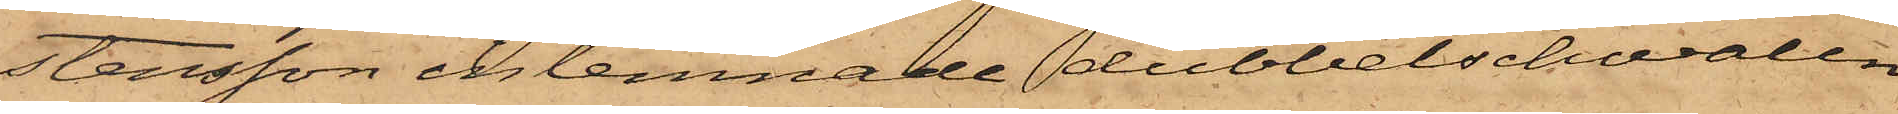stensson inlemnade dubbelschwalen
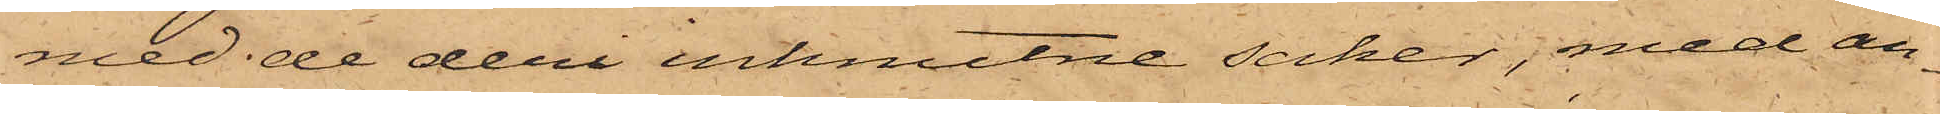med de deri inknutne saker, med an¬
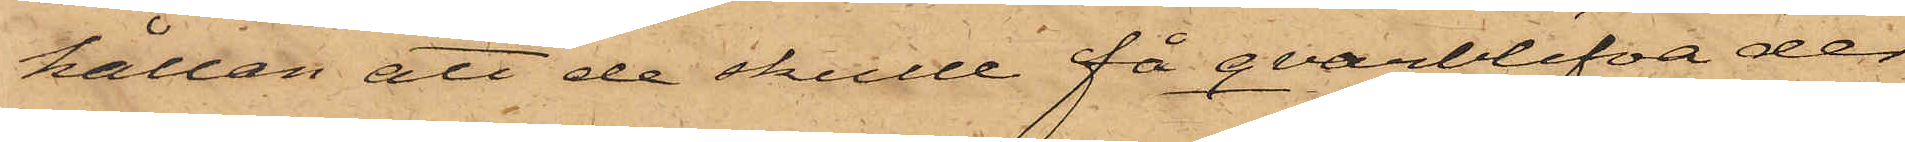hållan att de skulle få qvarblifva der
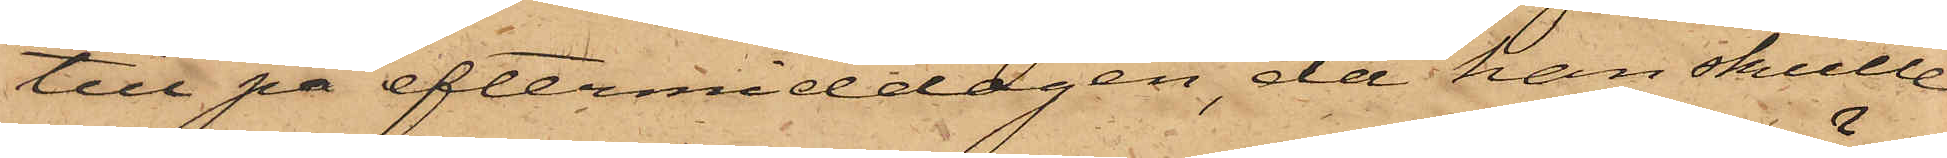till på eftermiddagen, då han skulle
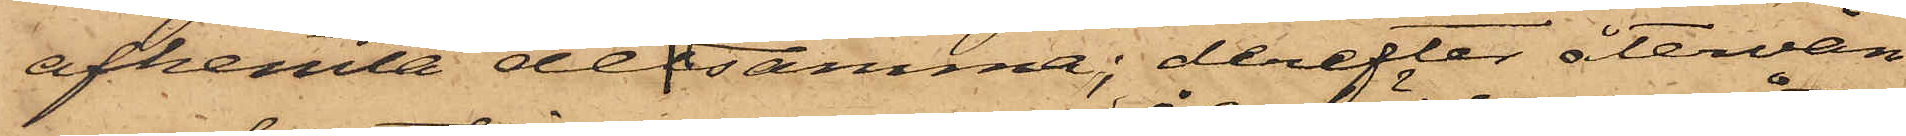afhemta detsamma; derefter återvän¬
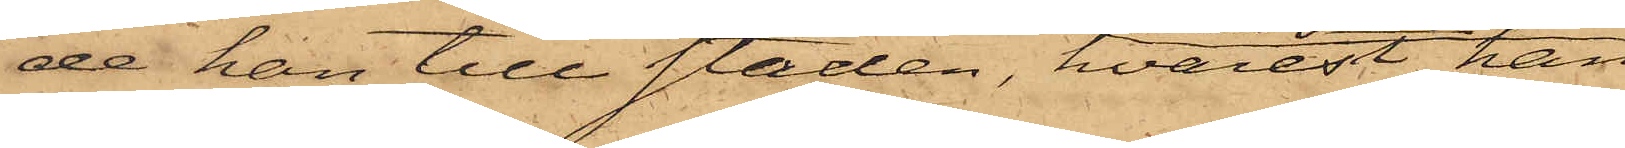de han till Staden, hvarest han
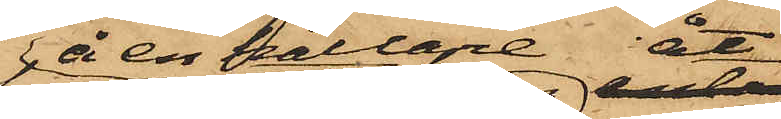å en källare åt
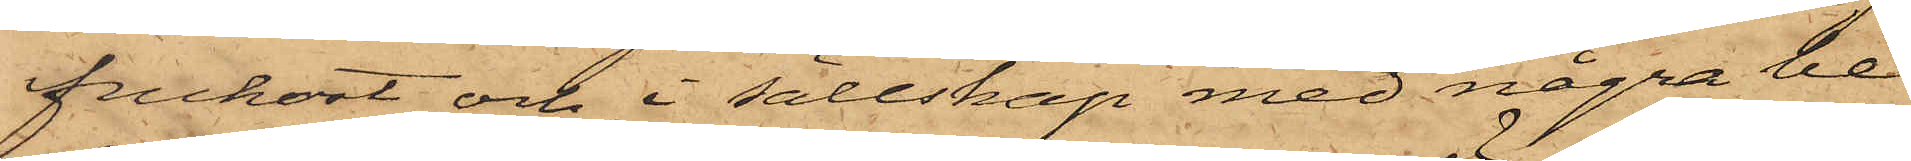frukost och i sällskap med några be¬
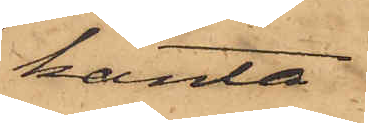kanta
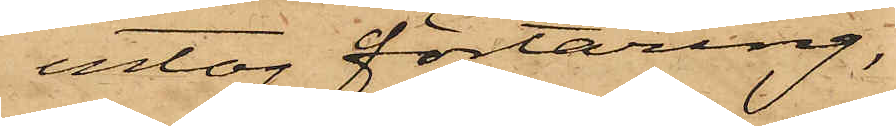intog förtäring,
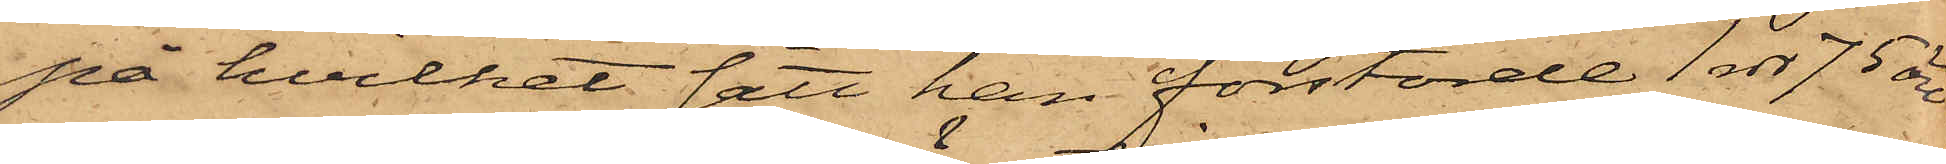på hvilket sätt han förstörde 1 rdr 75 öre
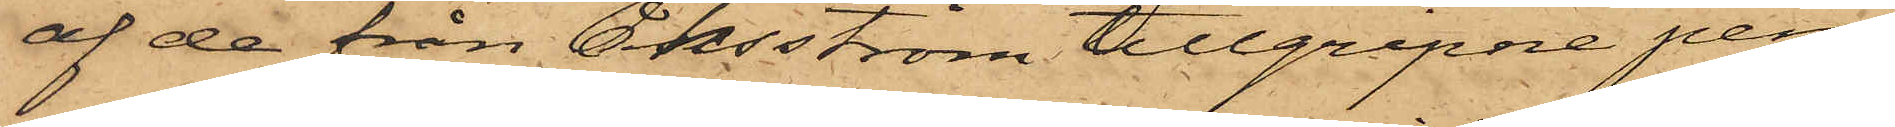af de från Åhlsström tillgripne pen¬
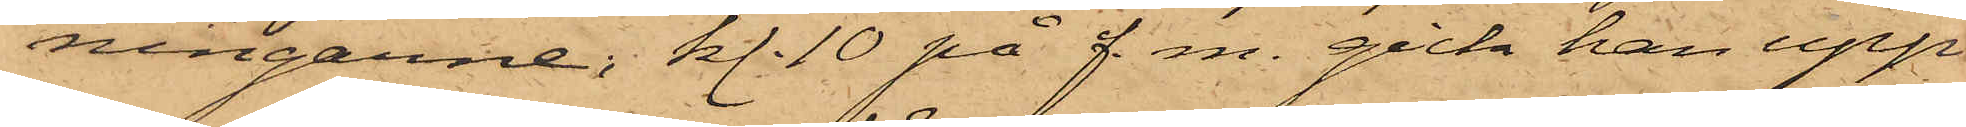ningarne; kl. 10 på f. m. gick han upp
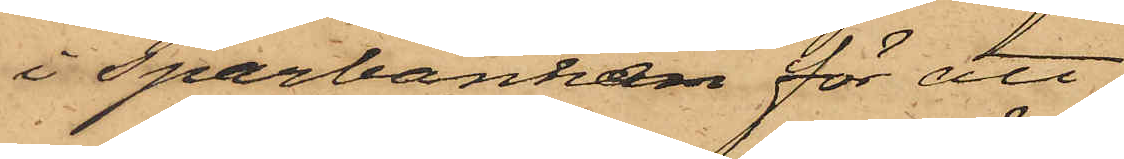i Sparbanken för att
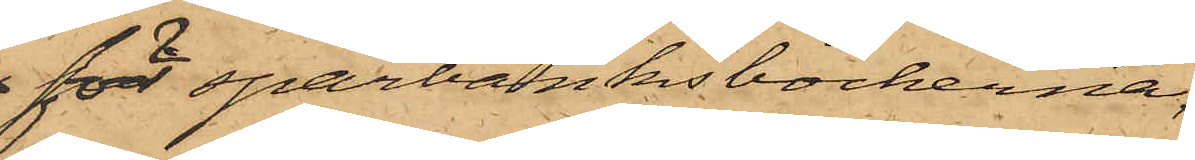för sparbanksböckerna
